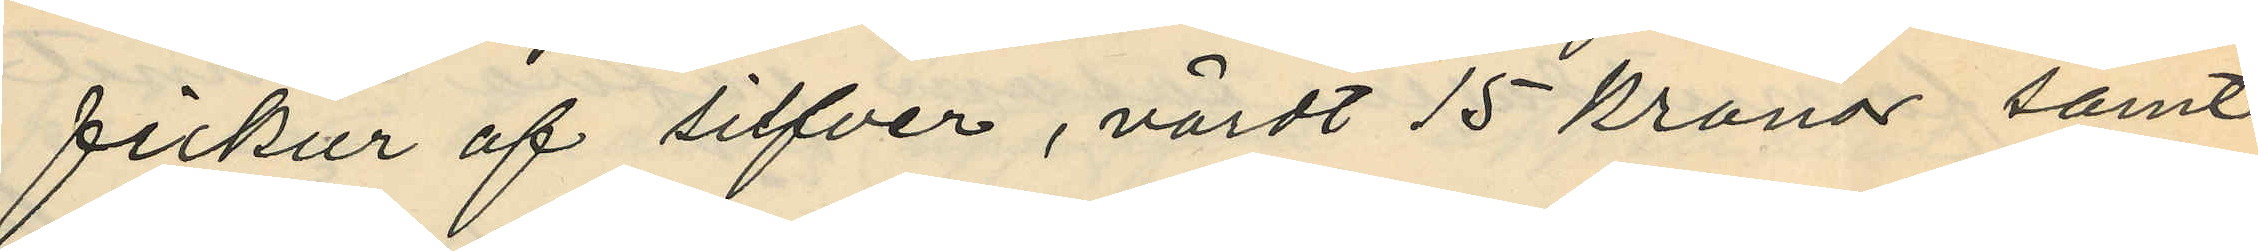fickur af silfver, värdt 15 kronor samt
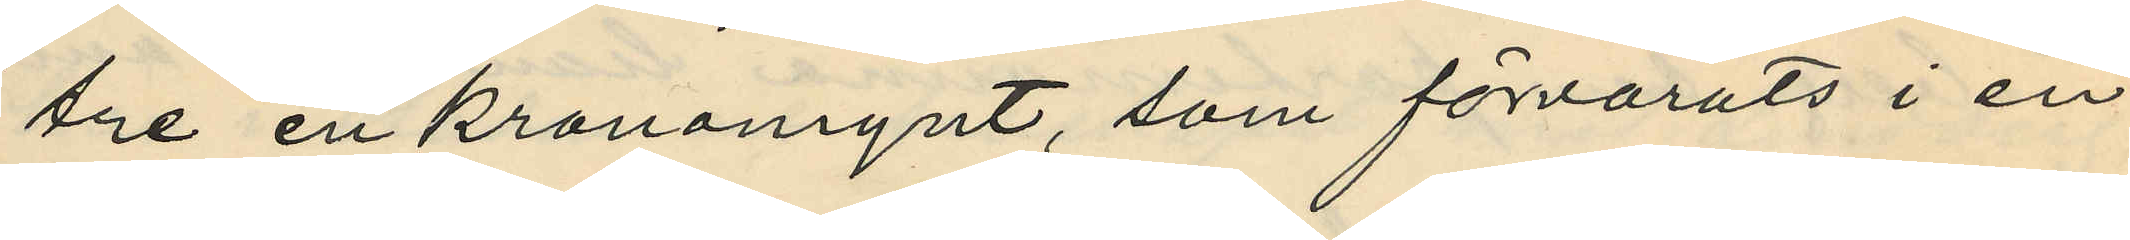tre enkronamynt, som förvarats i en
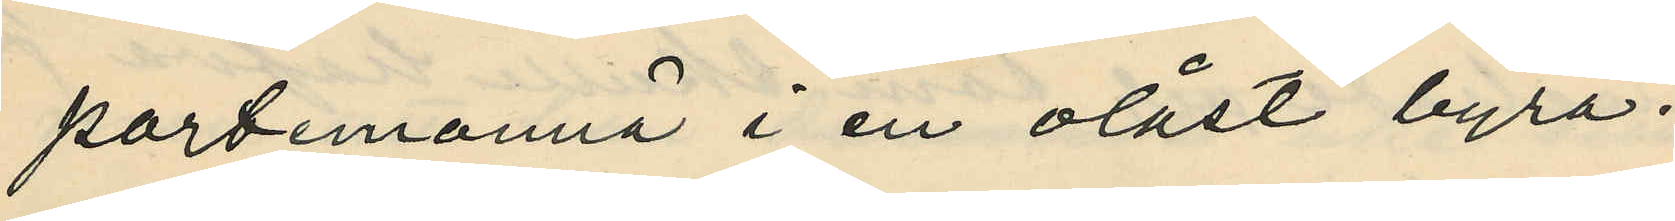portemonnä i en olåst byrå.
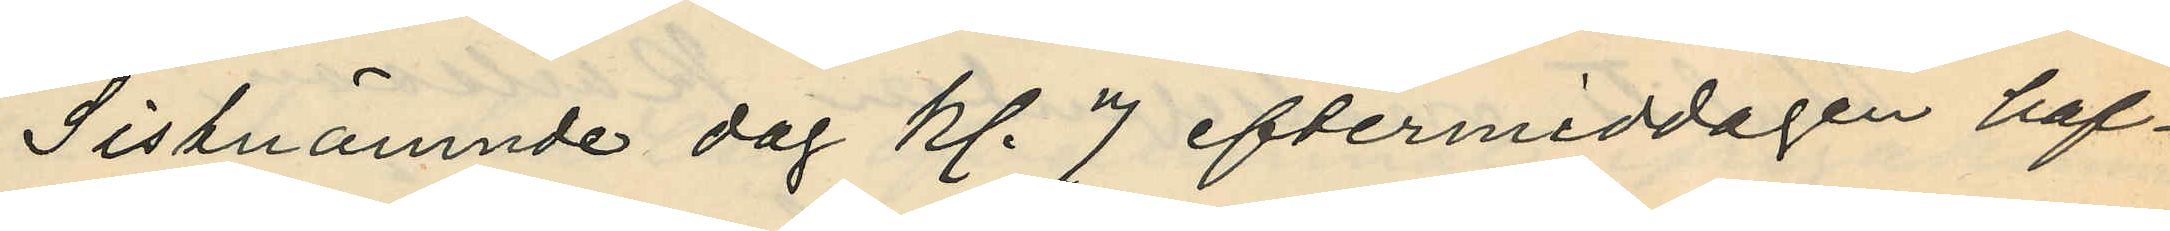Sistnämnde dag kl. 7 eftermiddagen haf¬
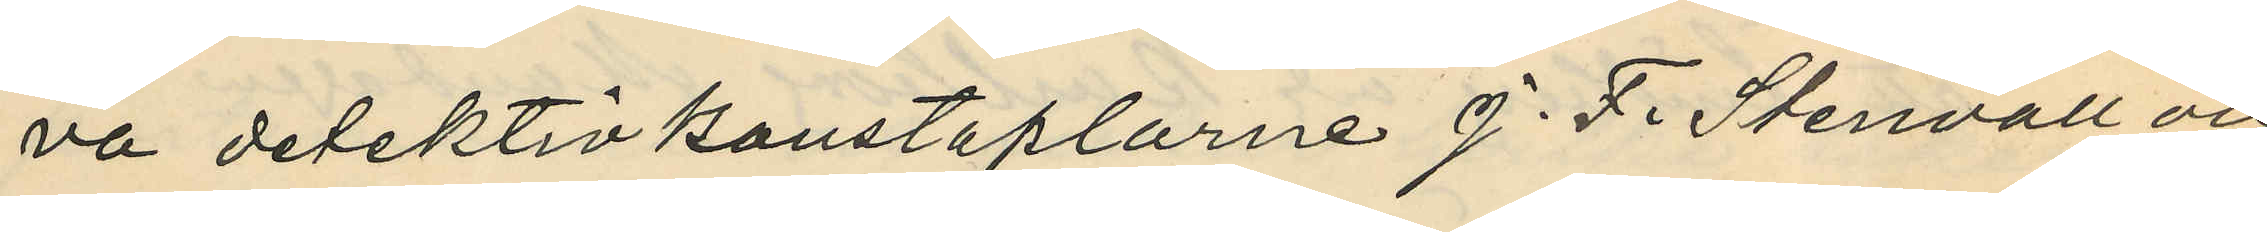va detektivkonstaplarne J. F. Stenvall och
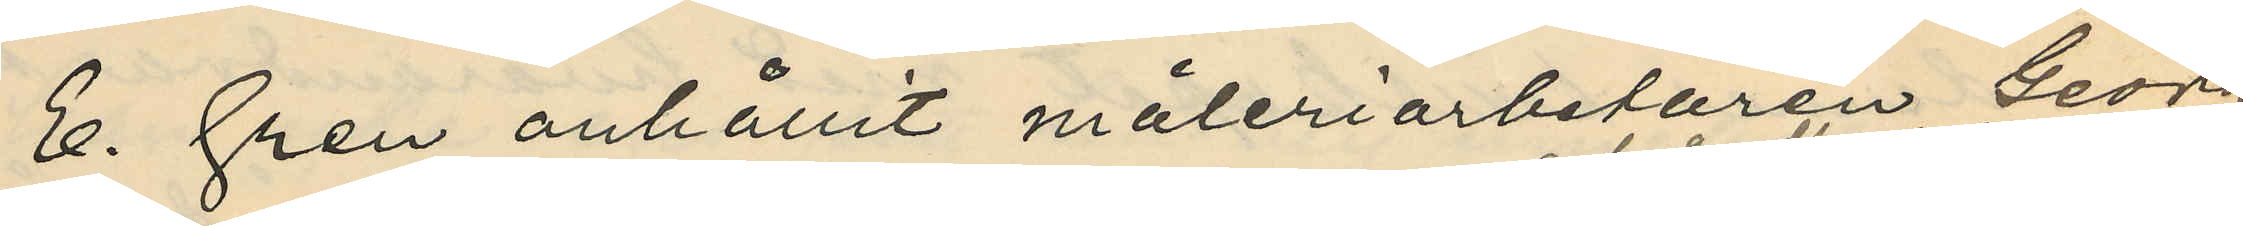E. Gren anhållit måleriarbetaren Georg
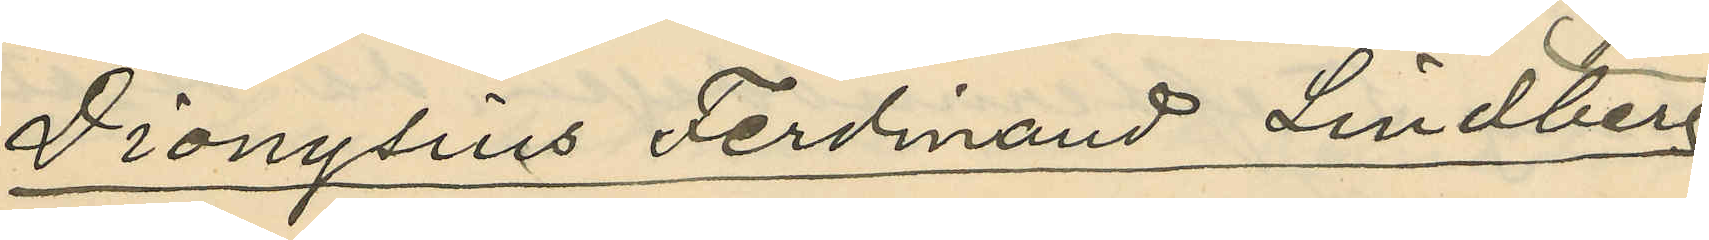Dionysius Ferdinand Lindberg,
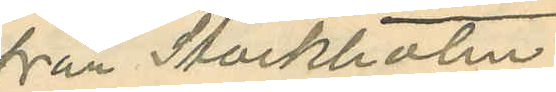från Stockholm
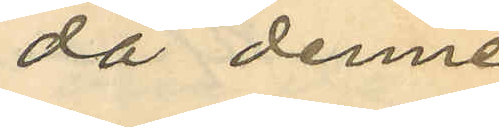då denne
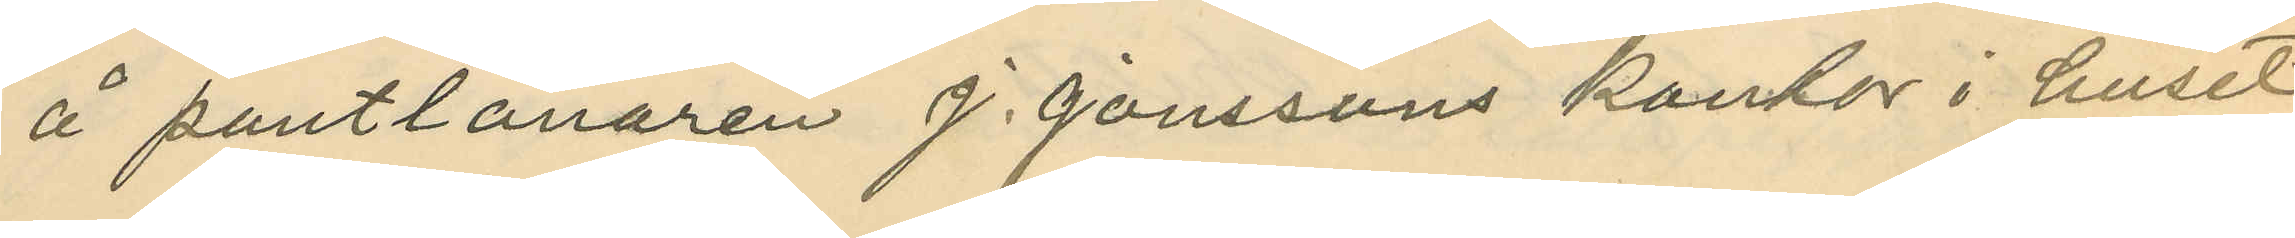å pantlånaren J. Jonssons kontor i huset
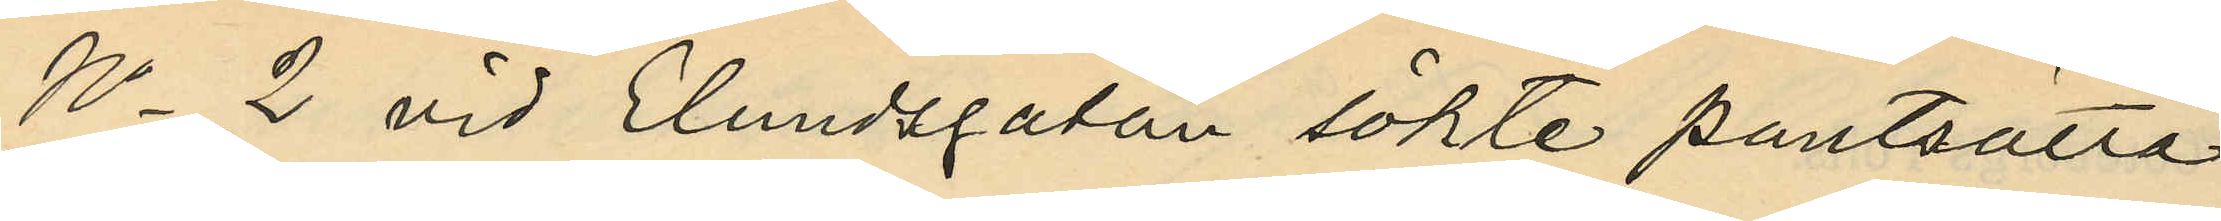No 2 vid Elundsgatan sökte pantsätta
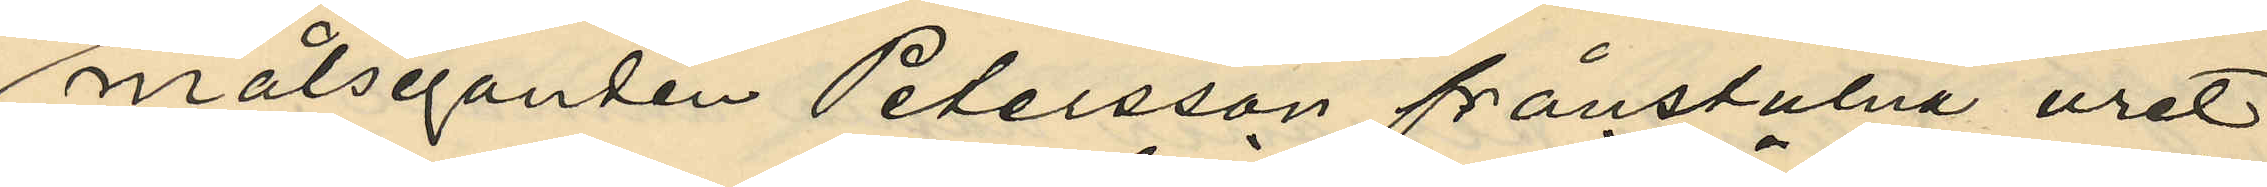målseganden Petersson frånstulna uret;
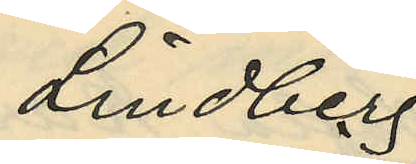Lindberg
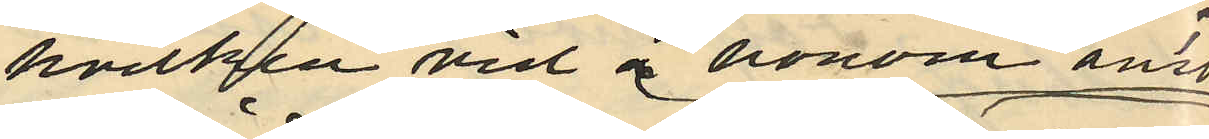hvilken vid å honom anstäld¬
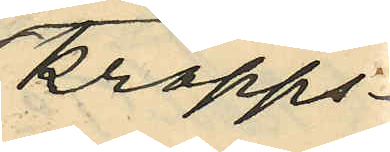kropps¬
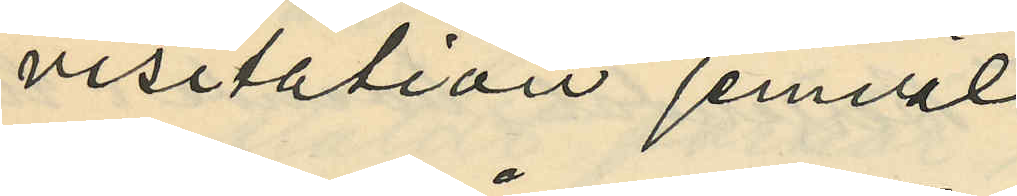visitation jemväl
